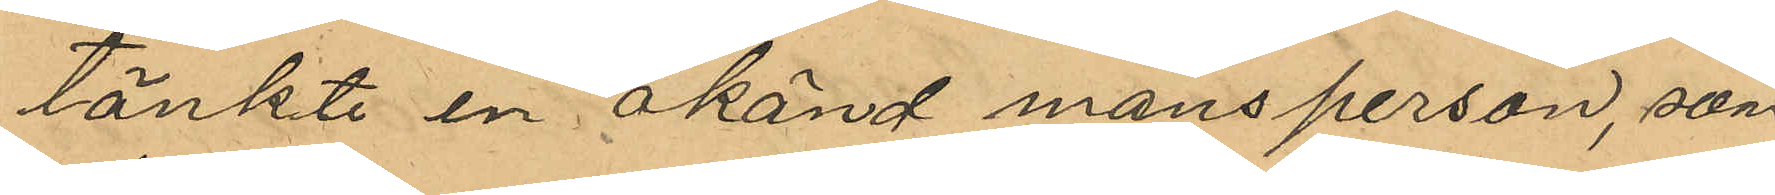tänkte en okänd mansperson, som
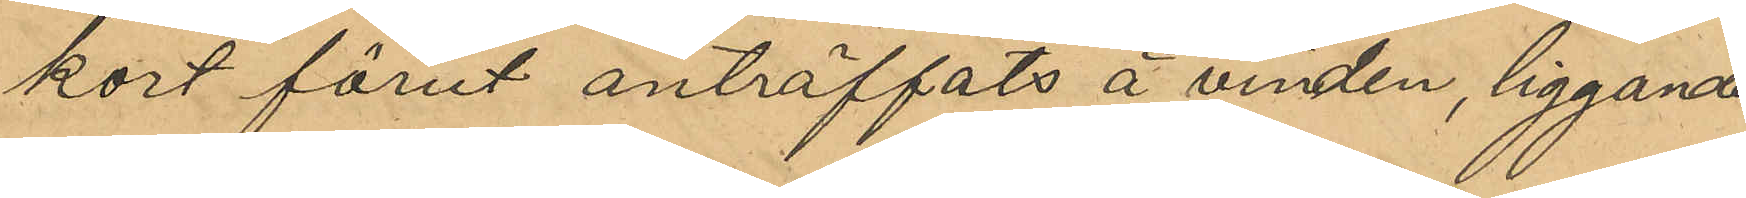kort förut anträffats å vinden, liggande
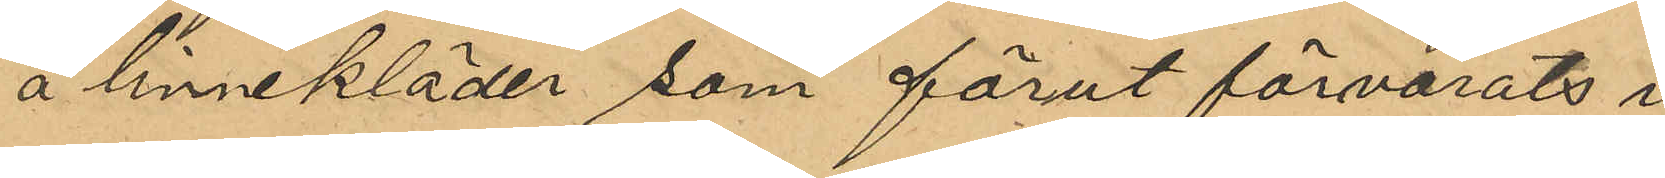å linnekläder som förut förvarats i
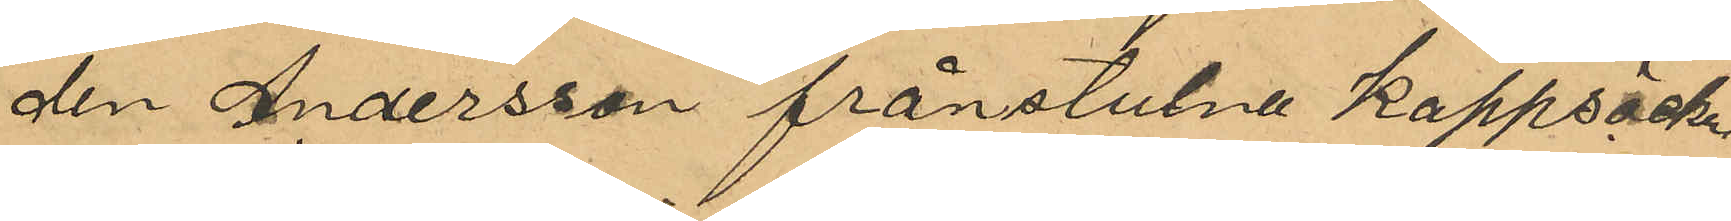den Andersson frånstulne kappsäck.
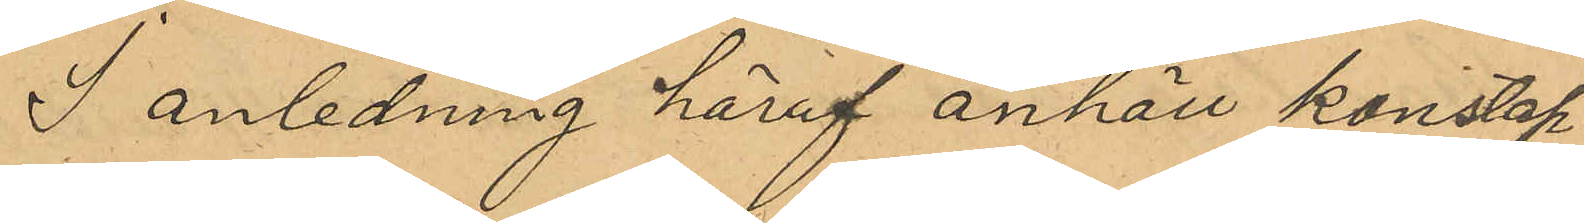I anledning häraf anhöll konstap¬
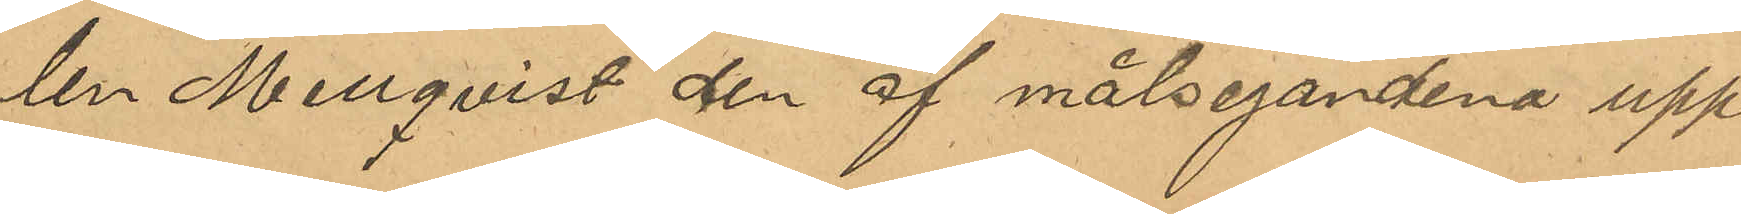len Mellqvist den af målsegandena upp¬
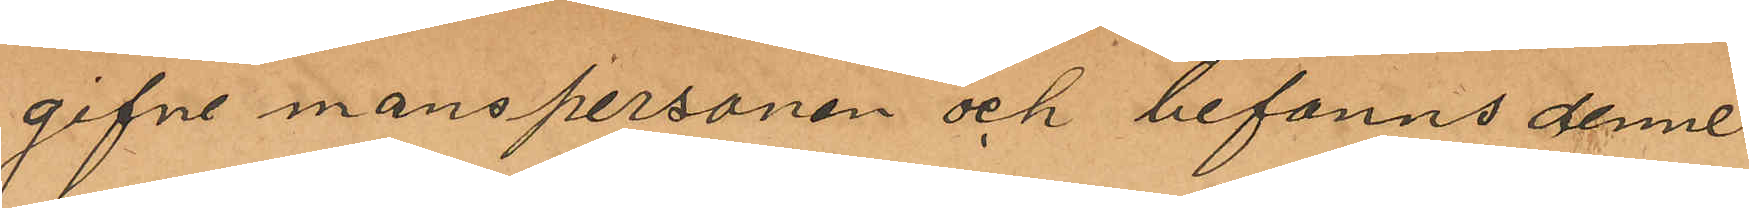gifne manspersonen och befanns denne
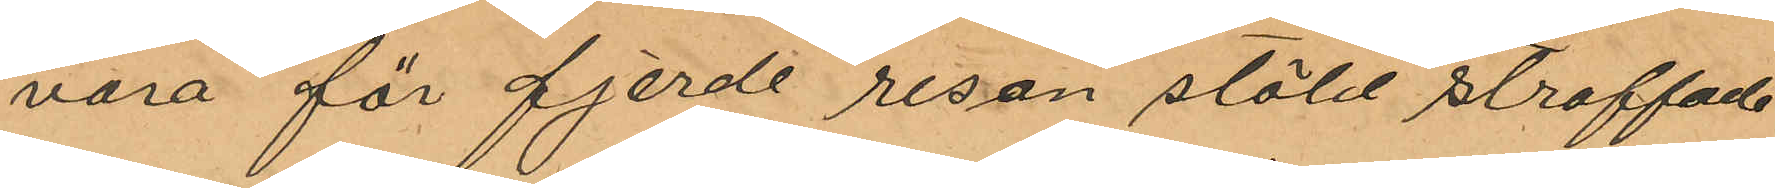vara för fjerde resan stöld straffade
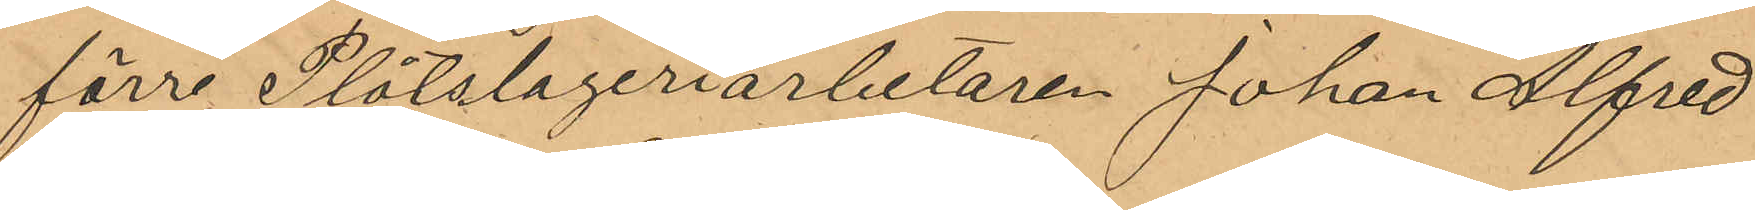förre Plåtslageriarbetaren Johan Alfred
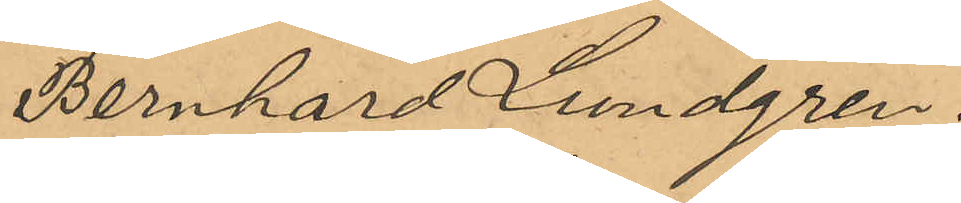Bernhard Lundgren.
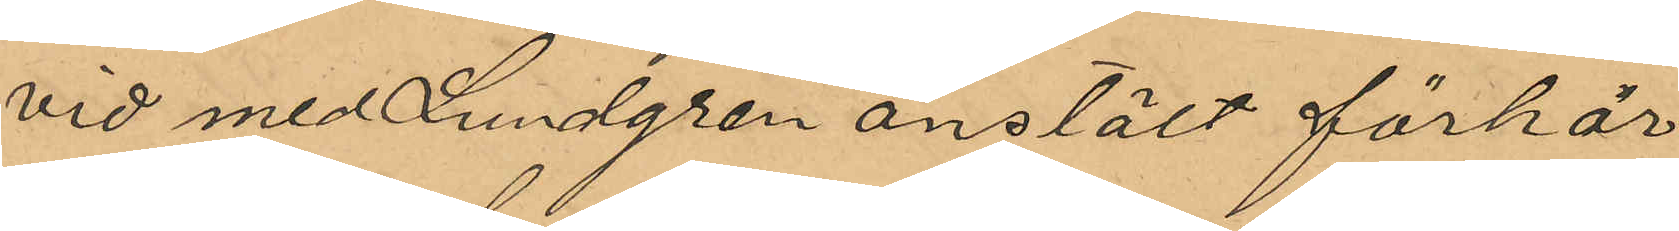Vid med Lundgren anstält förhör
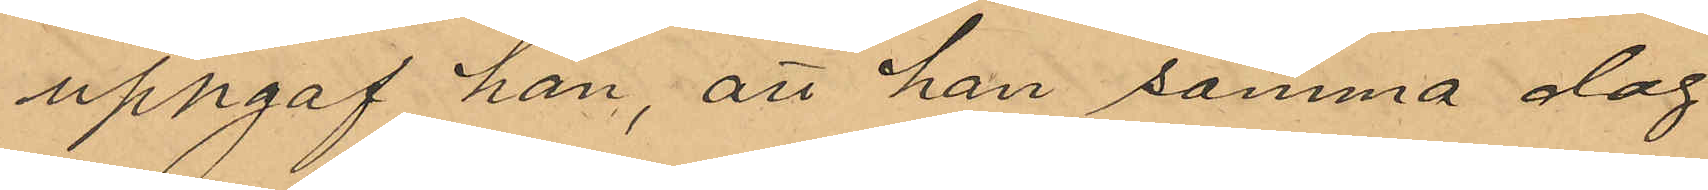uppgaf han, att han samma dag
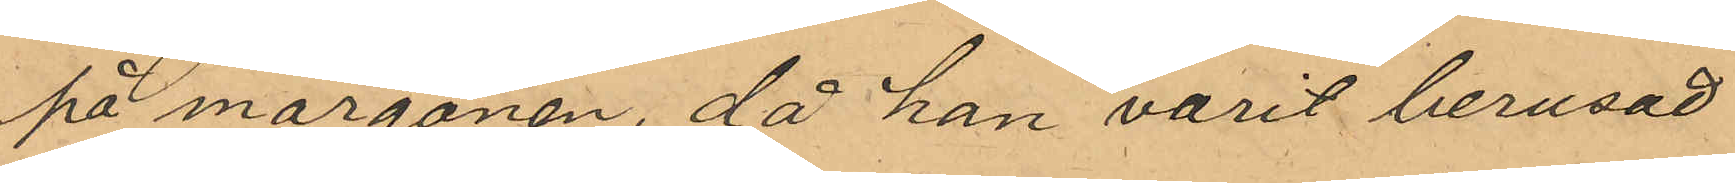på morgonen, då han varit berusad
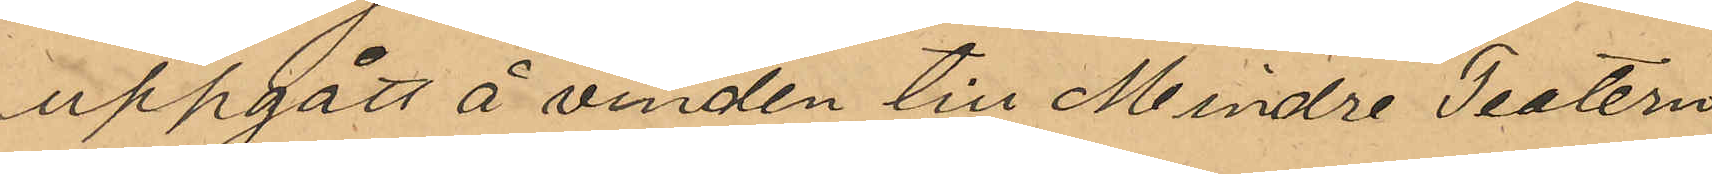uppgått å vinden till Mindre Teatern
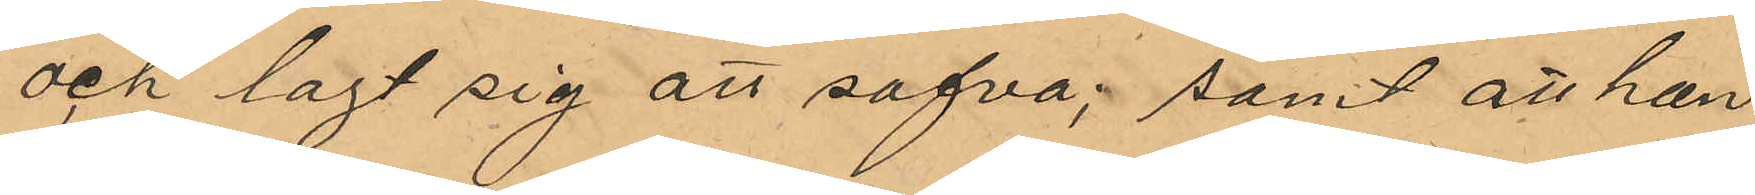och lagt sig att sofva; samt att han
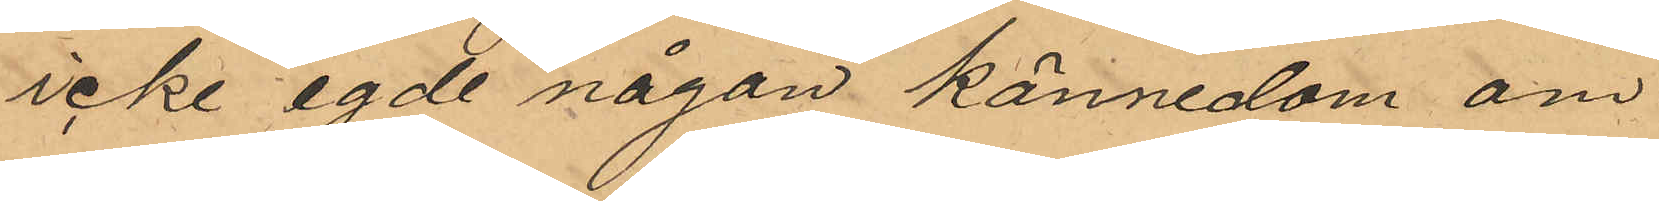icke egde någon kännedom om
